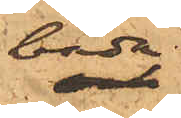båda
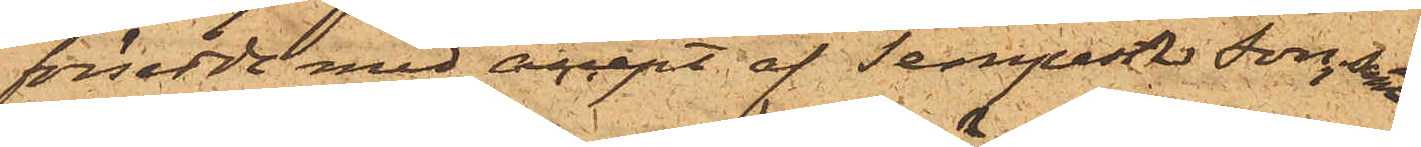försedda med accept af Tempest & Son, samt
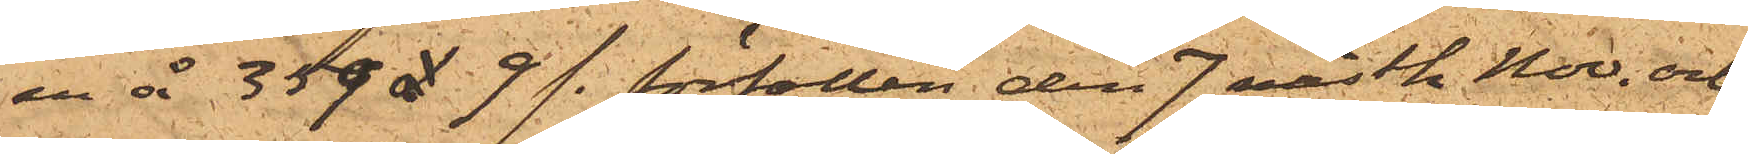en å 359£ 9 /-. förfallen den 7 nästk. Nov. och
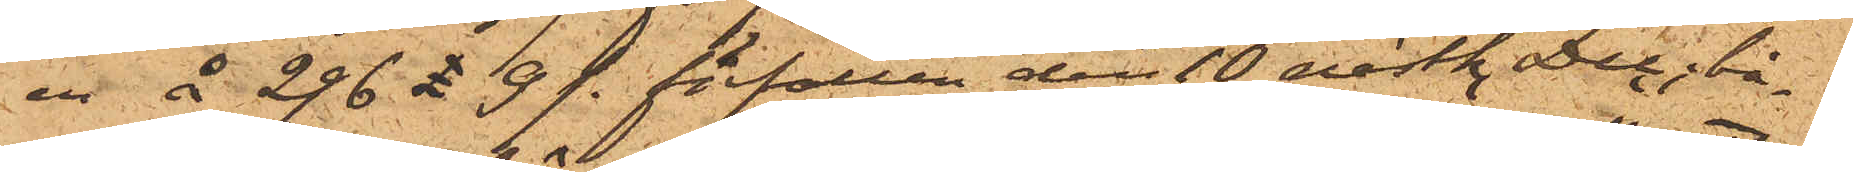en å 296£ 9 /-. förfallen den 10 nästk. Dec; bå¬
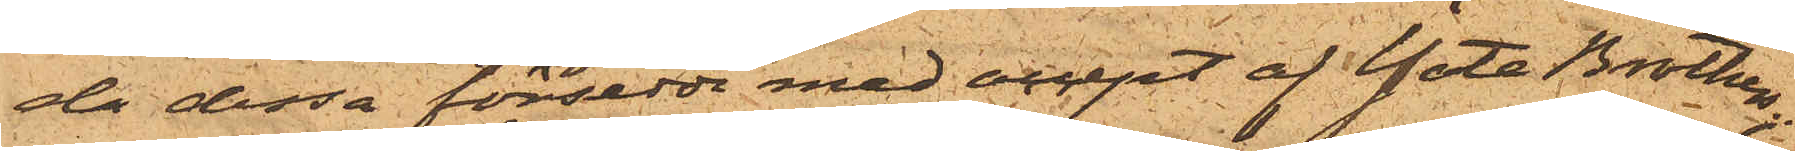de dessa försedda med accept af Yate Brothers;
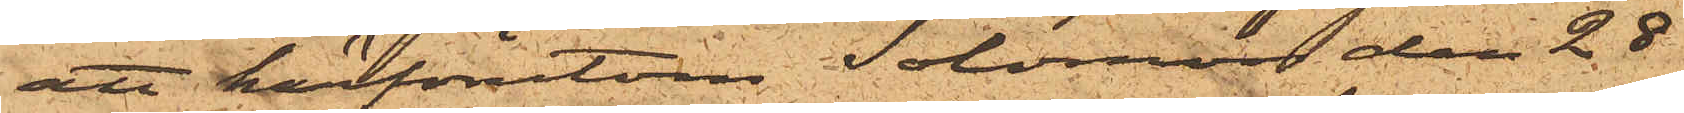att härförutom Solomon den 28
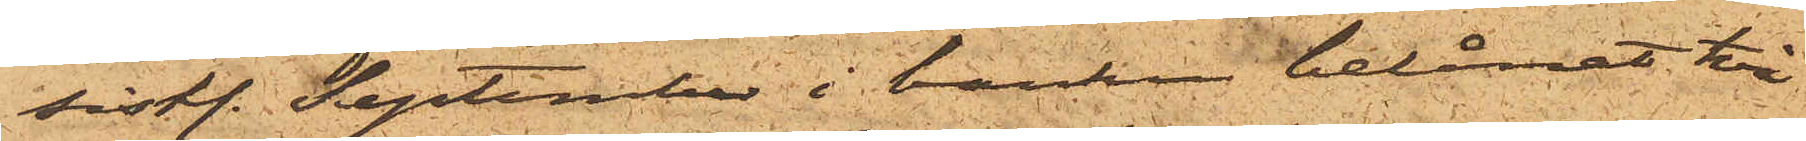sist. September i banken belånat två
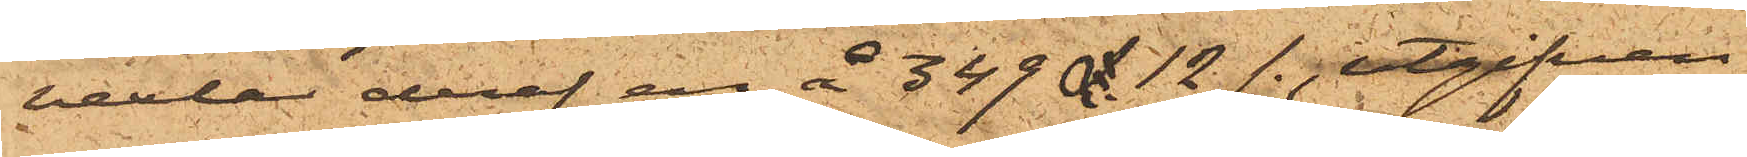vexlar deraf en å 349£ 12/-. utgifven
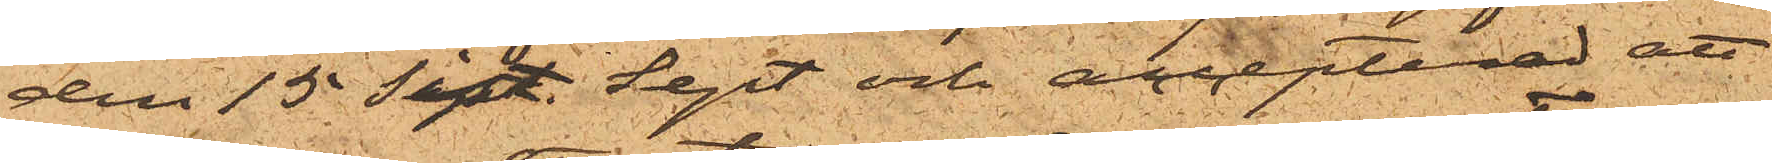den 15 sist. Sept och accepterad att
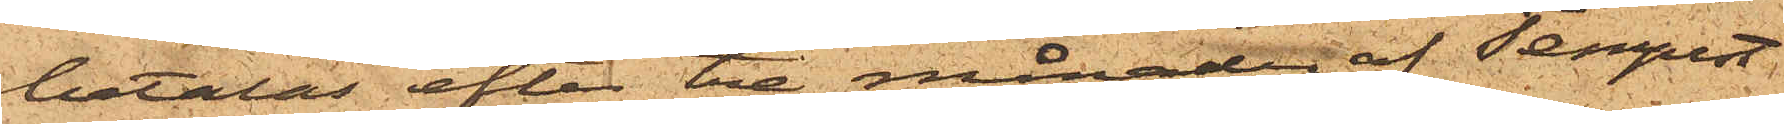betalas efter tre månader af Tempest
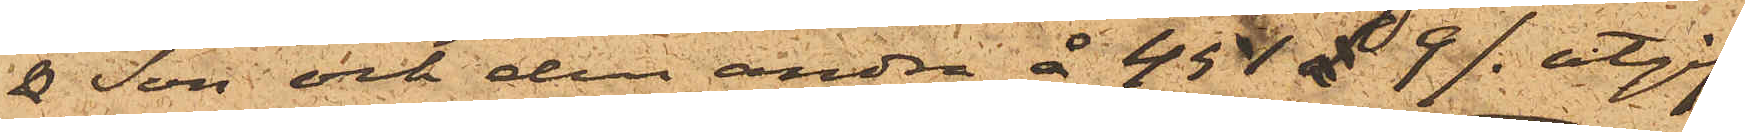& Son och den andra å 451£  9/-. utgif¬
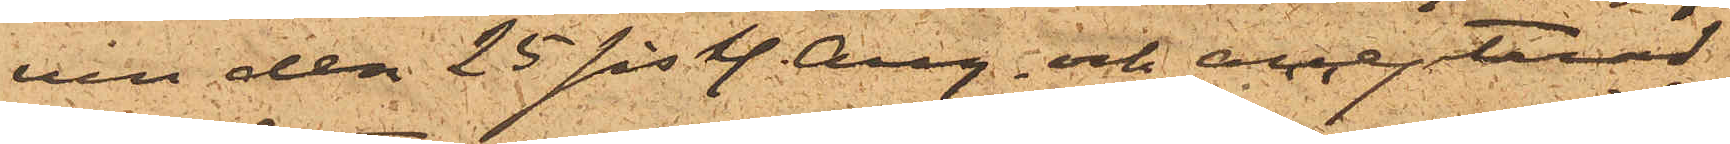ven den 25 sist. Aug. och accepterad
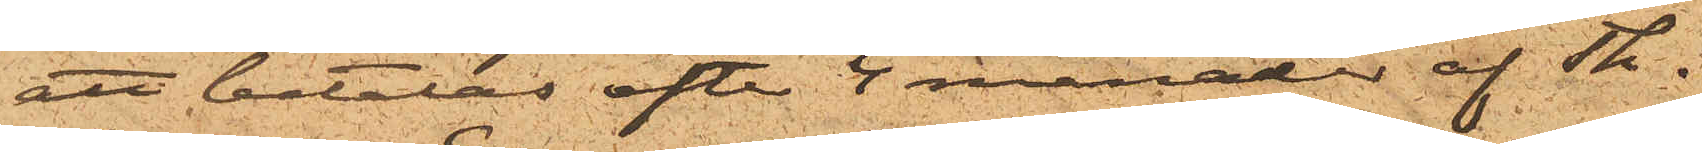att betalas efter 4 månader af Th.
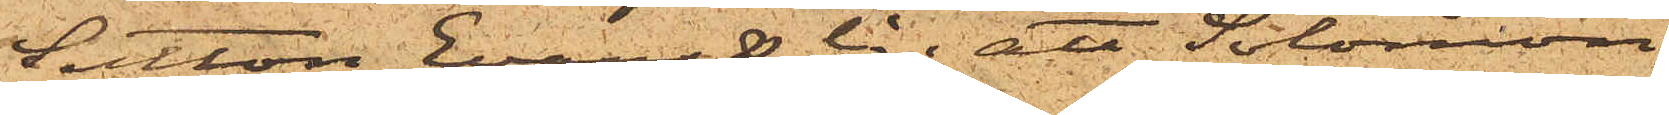Sutton Evans & Co;  att Solomon
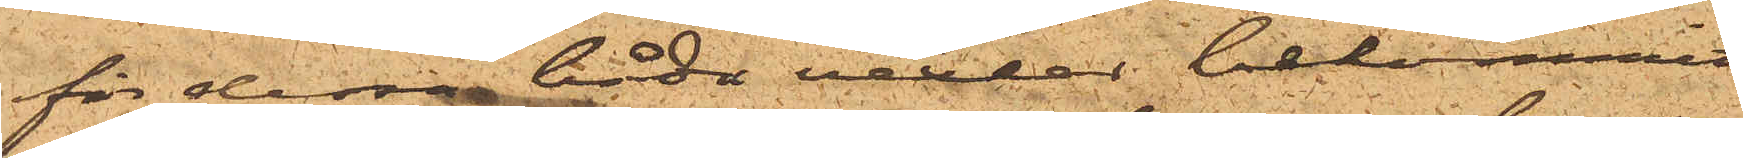för dessa båda vexlar bekommit
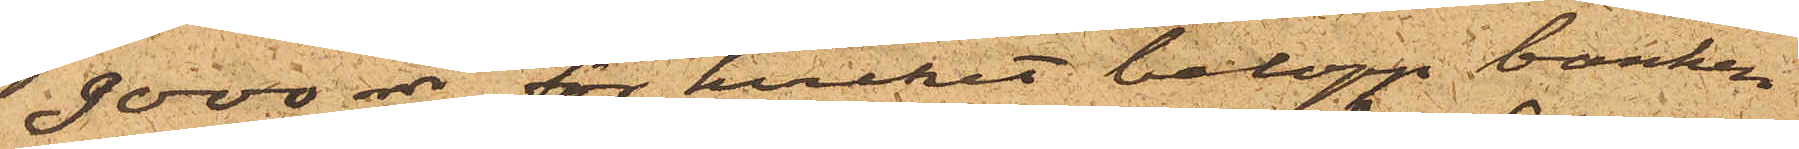9000 rdr, för hvilket belopp banken
